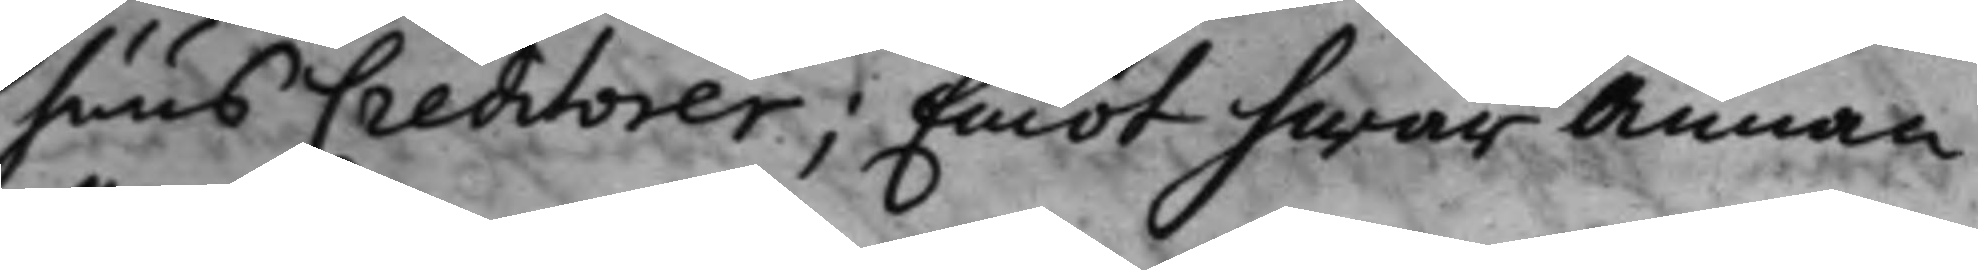huus Creditorer; Emot hwar annan,
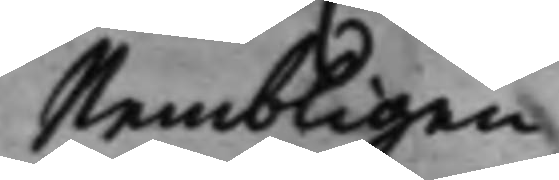Nembligen:
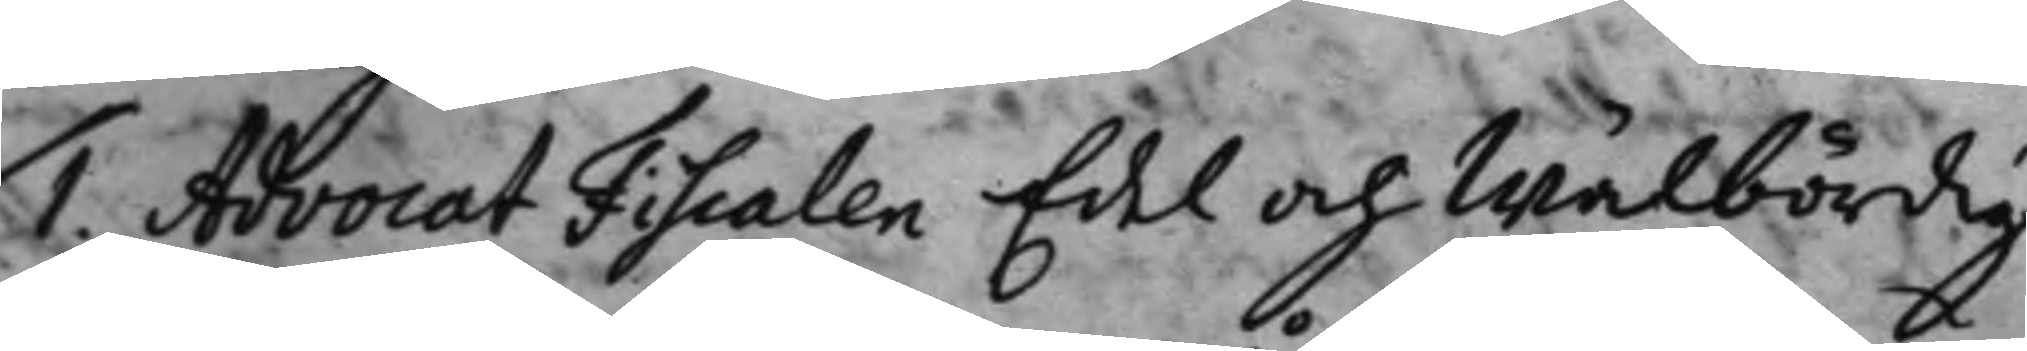1. Advocat Fiscalen Edel och Wälbördig
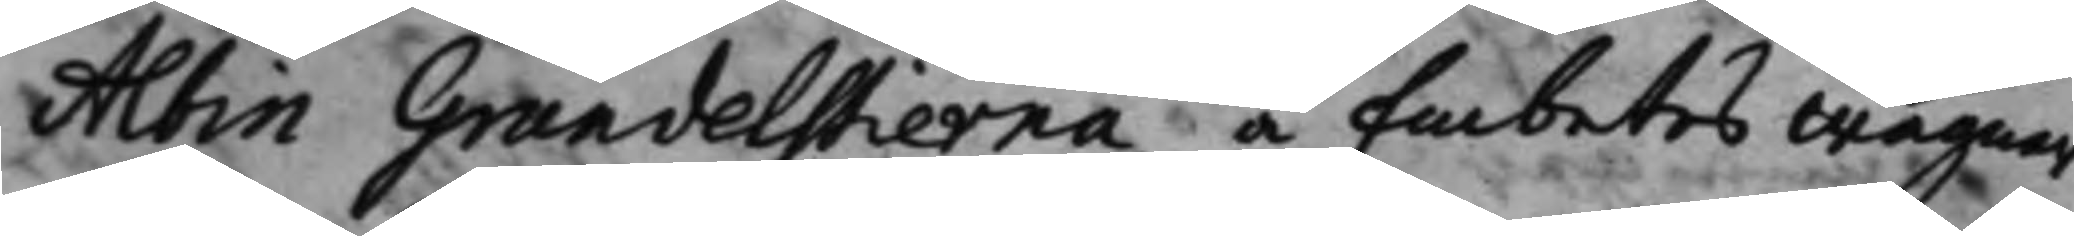Albin Grundelstierna å Embetets wägnar.
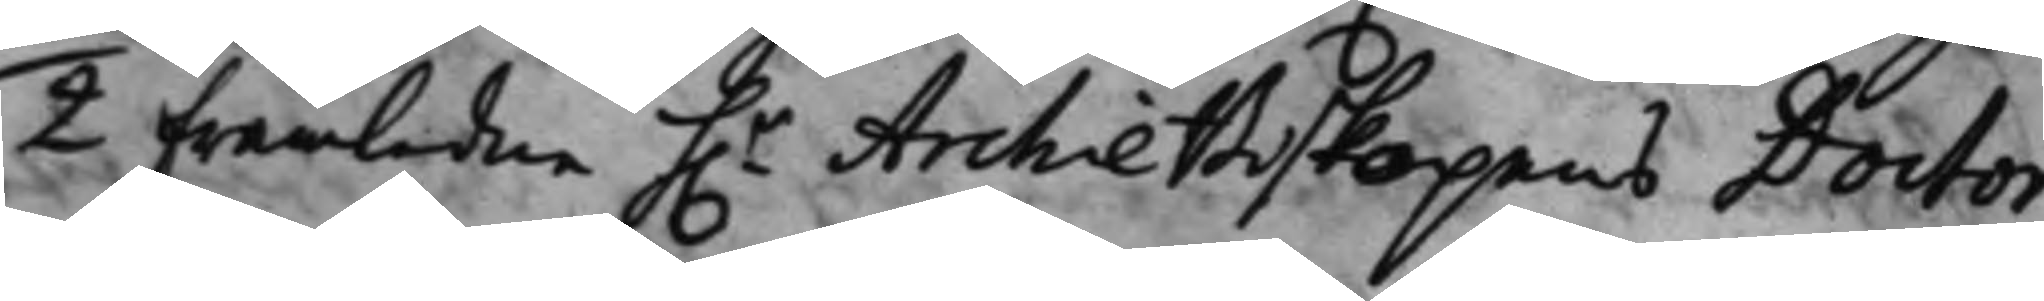2 framledne h.r Archiebiskopens Doctor 
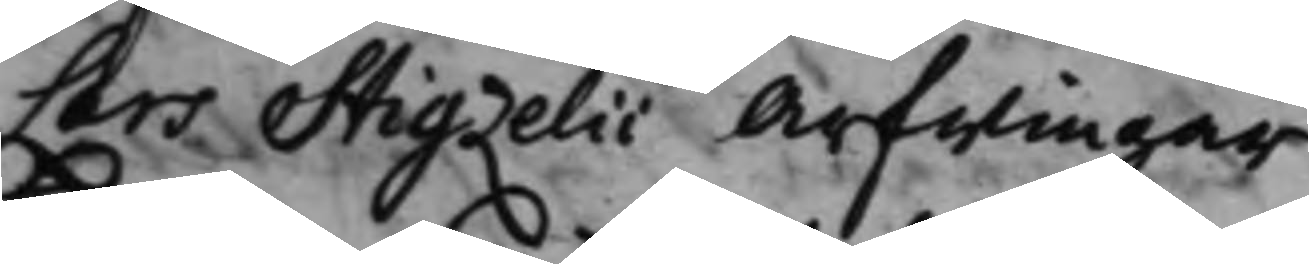Lars Stigzelii Arfwingar.
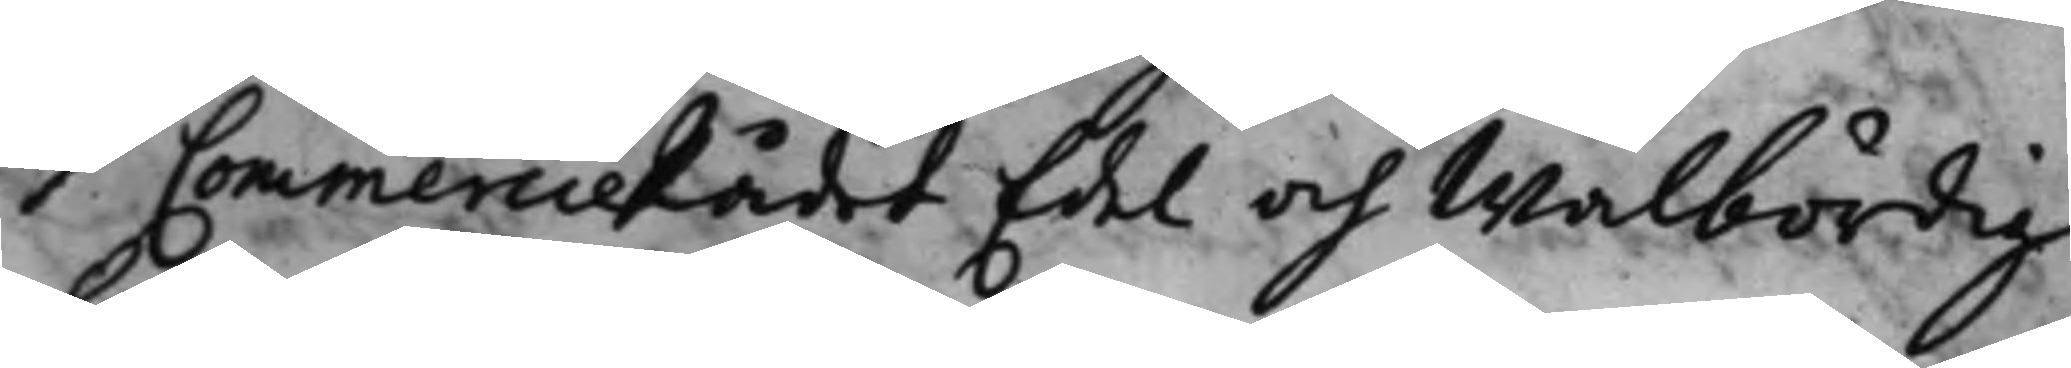3 CommercieRådet Edel och Wälbördig 
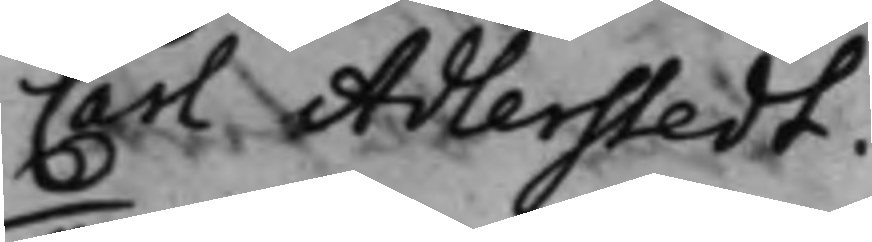Carl Adlerstedt.
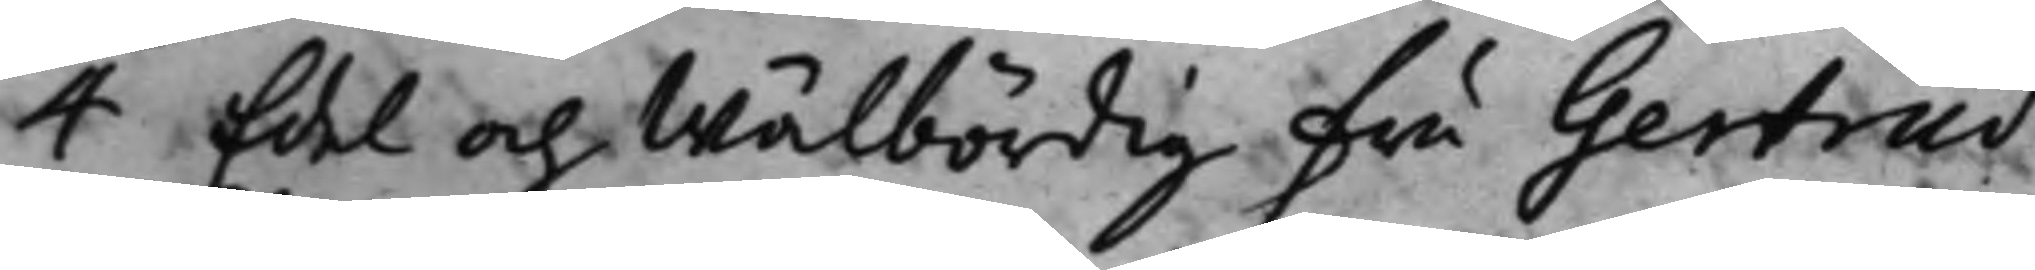4 Edel och Wälbördig Fru Gertrud
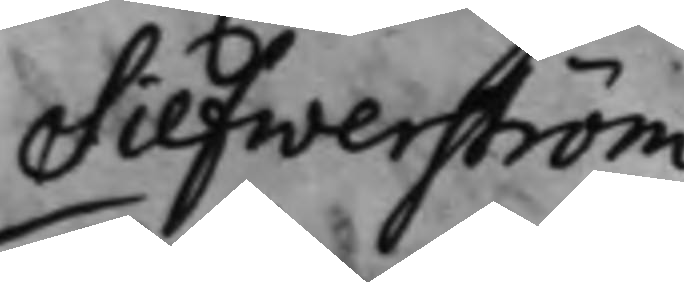Silfwerström
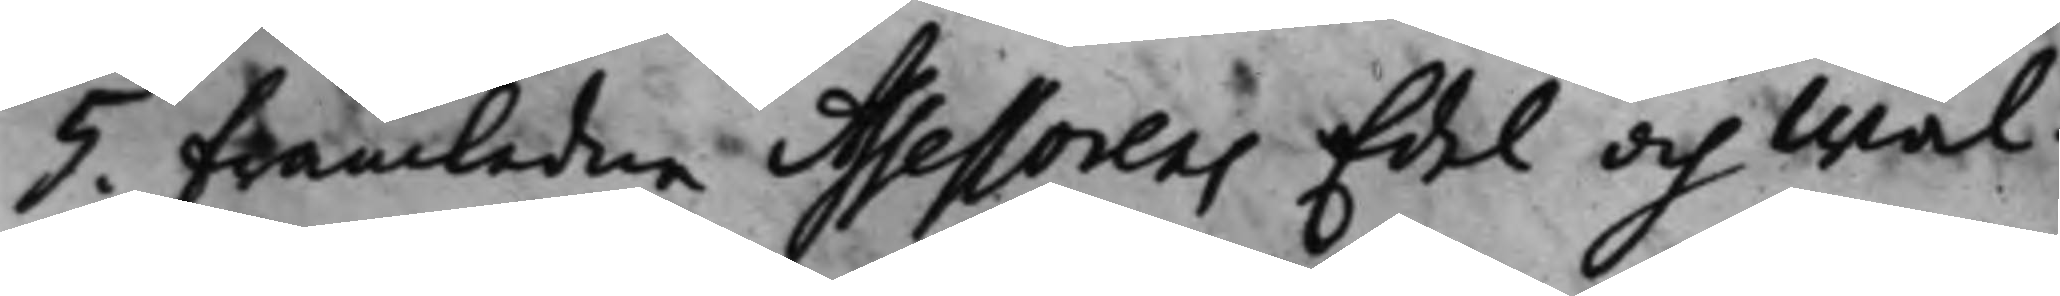5. Framledne Assessorens Edel och Wäl¬
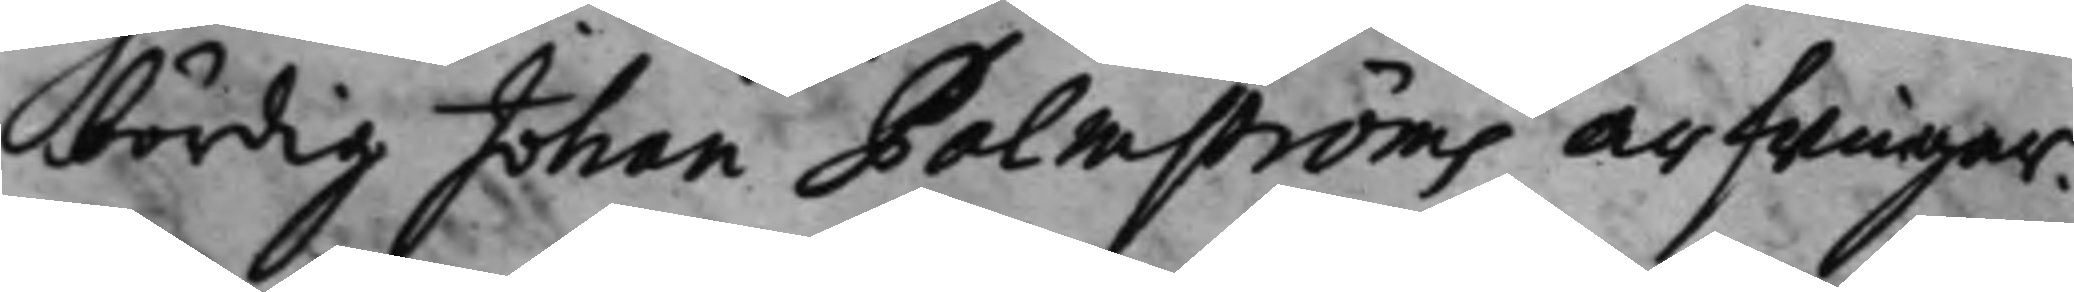bördig Johan Palmströms arfwingar.
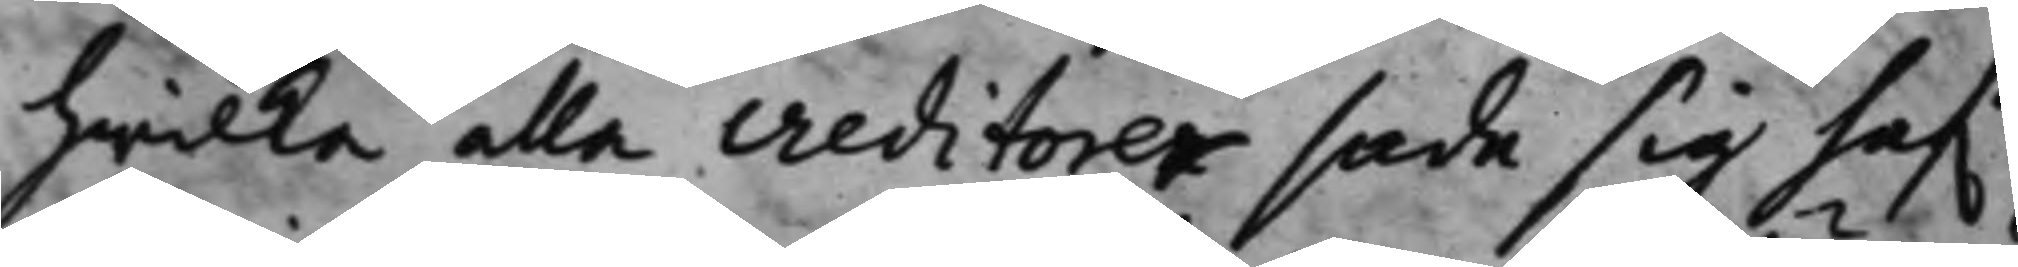hwilka alla creditorer sade sig haf.a
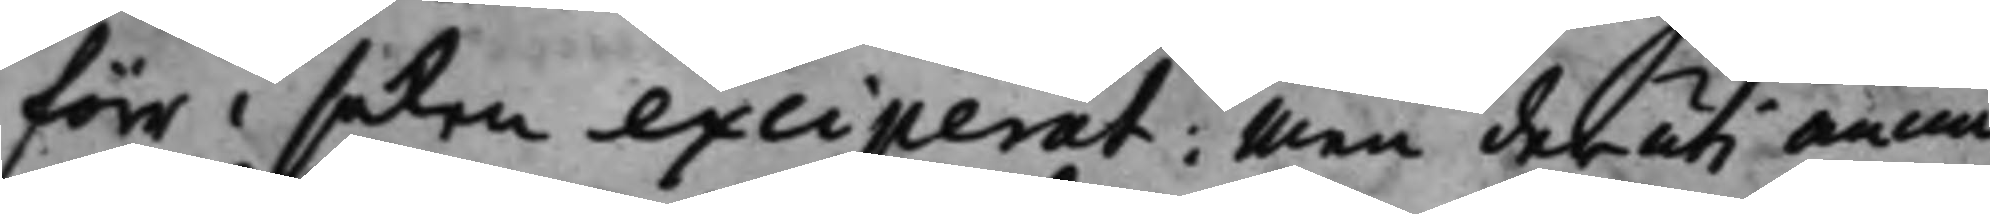förr i saken exciperat; Men deruti ännu
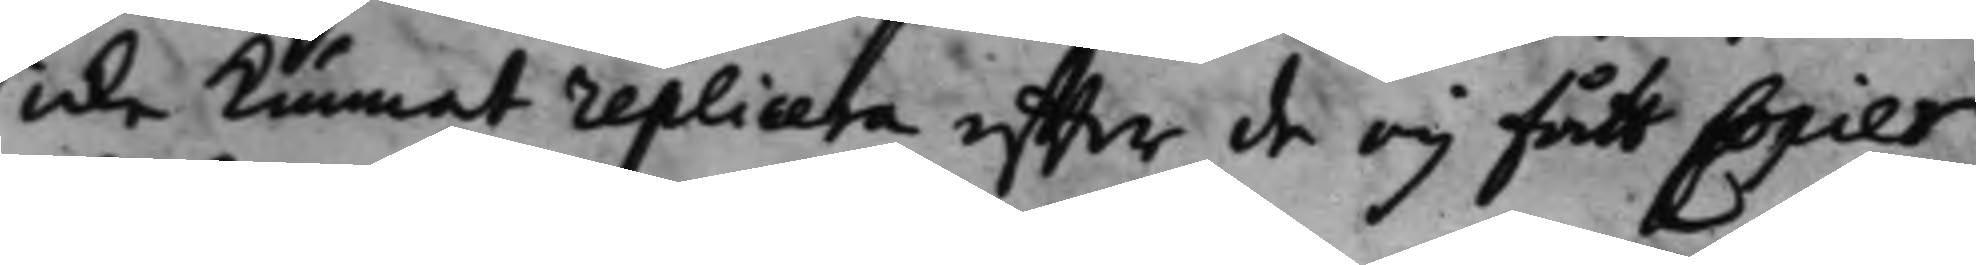icke kunnat replicera effter de eij fått Copier
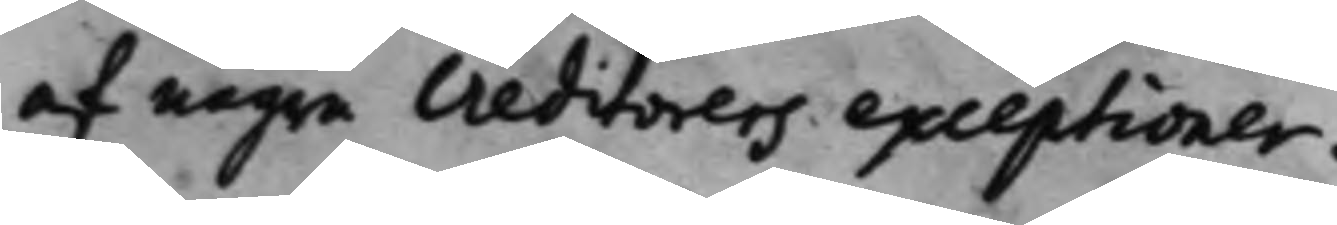af någre creditorers exceptioner.
